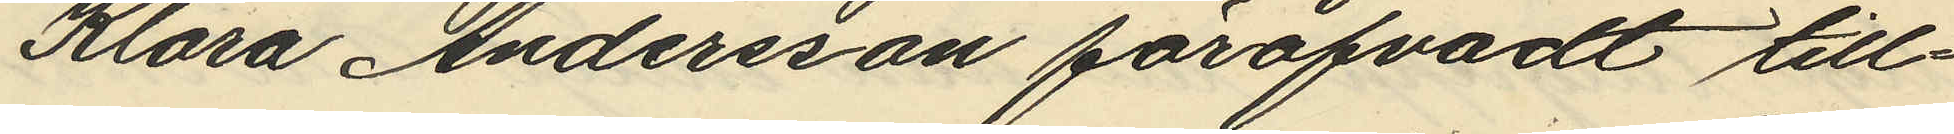Klara Andersson föröfvadt till¬
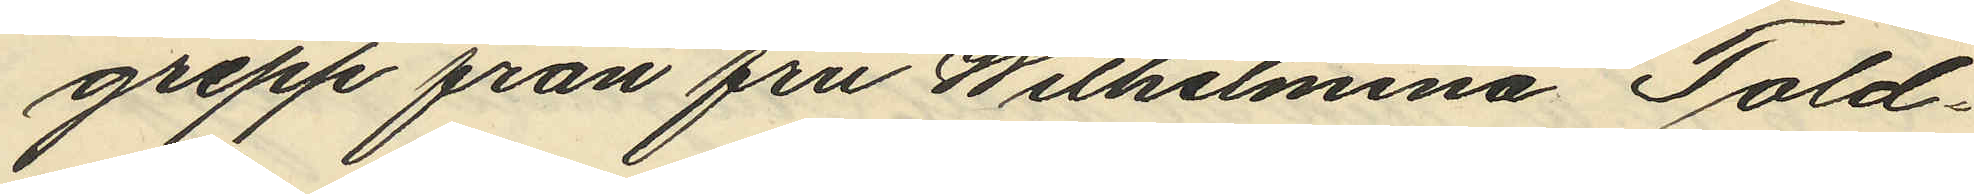grepp från fru Wilhelmina Told¬
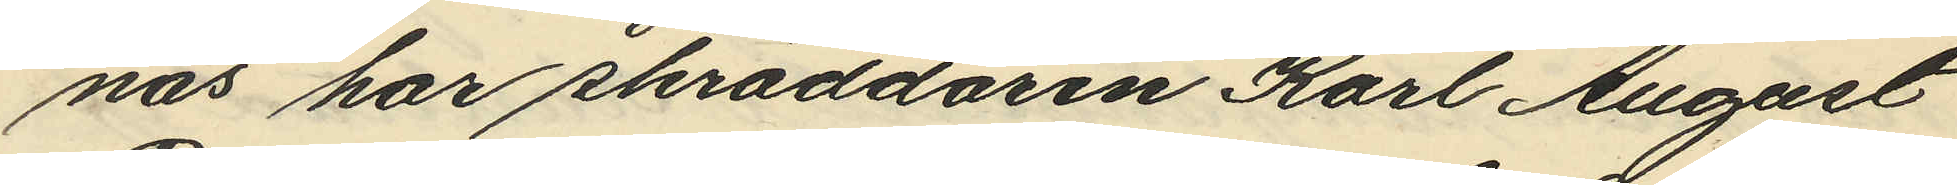näs har skräddaren Karl August
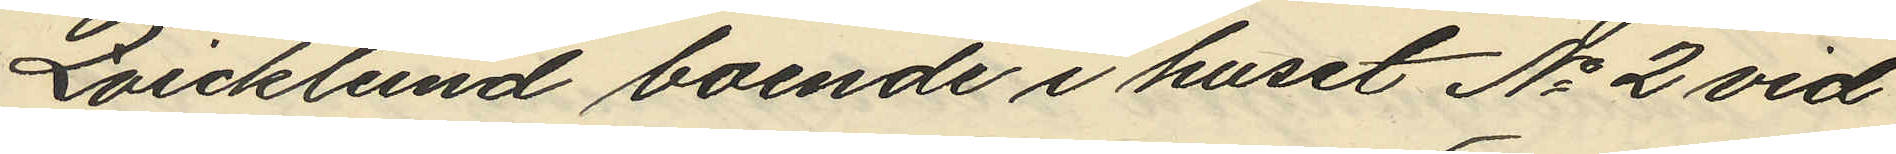Qvicklund boende i huset No 2 vid
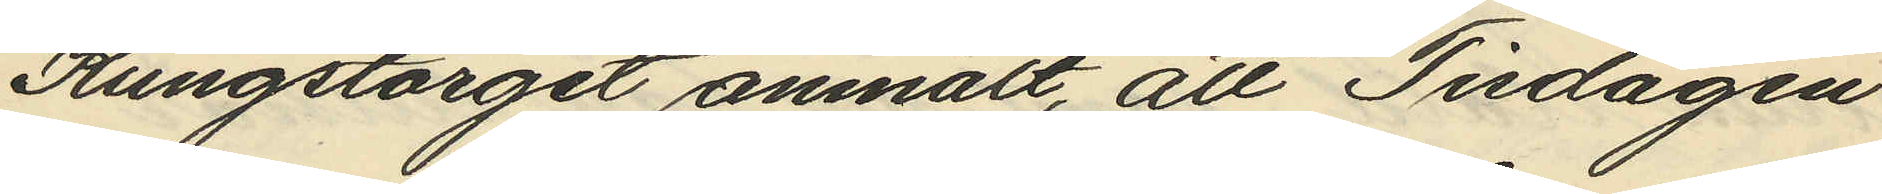Kungstorget anmält, att Tisdagen
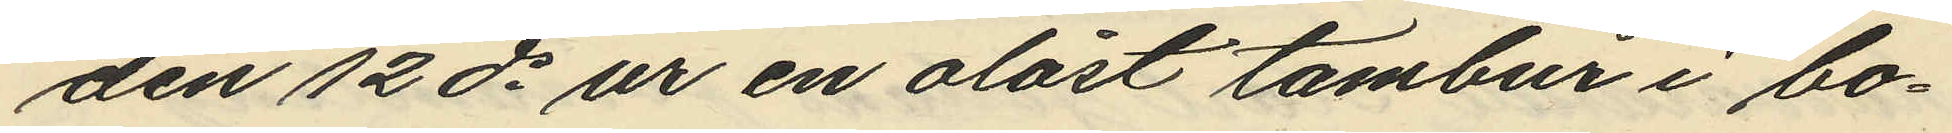den 12 ds ur en olåst tambur i bo¬
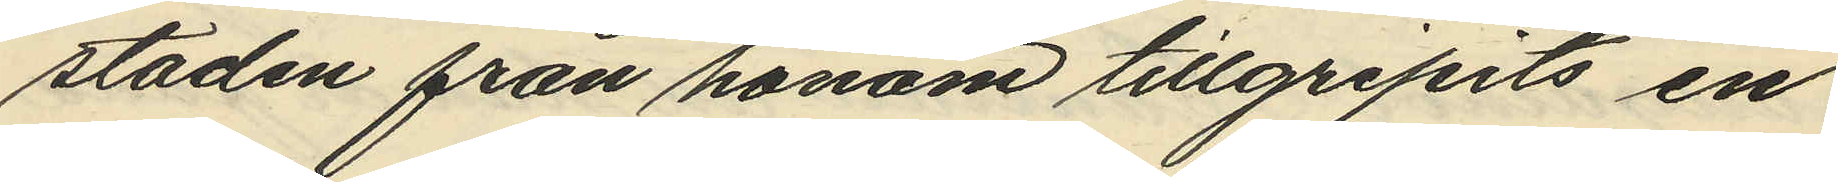staden från honom tillgripits en
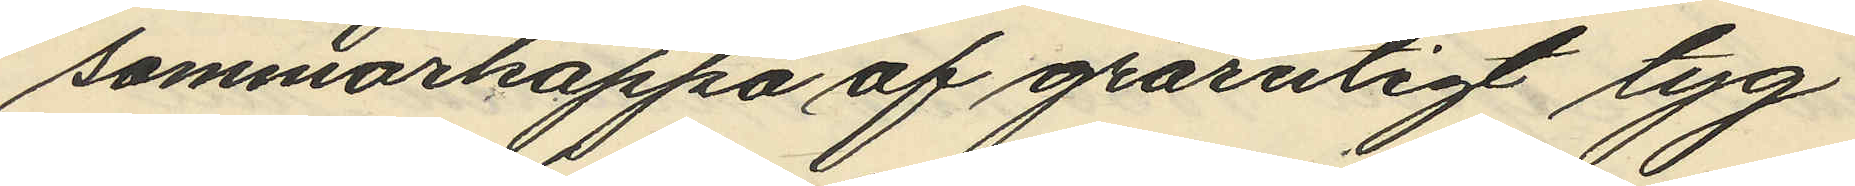sommarkappa af grårutigt tyg
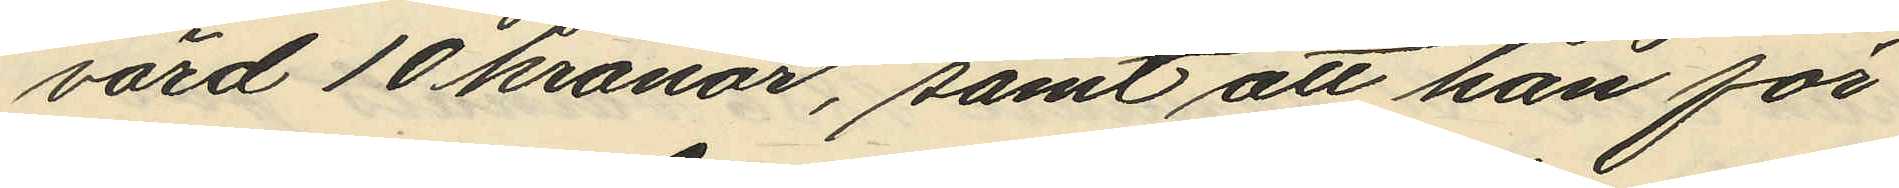värd 10 kronor, samt att han för
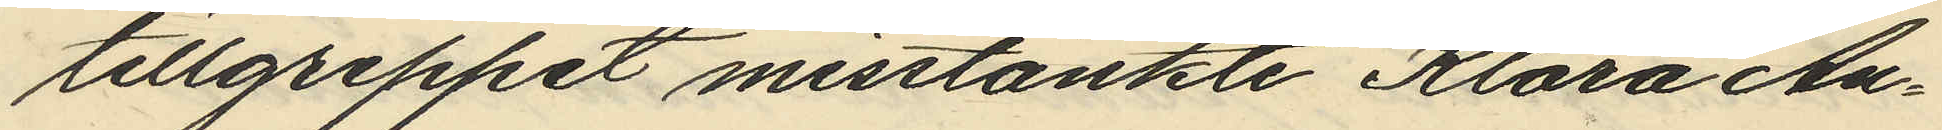tillgreppet misstänkte Klara An¬
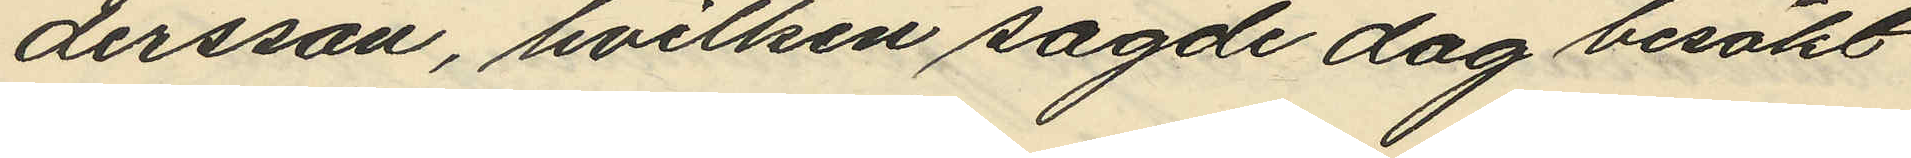dersson, hvilken sagde dag besökt
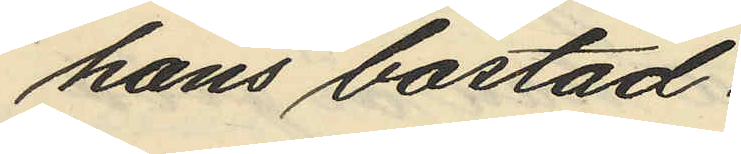hans bostad.
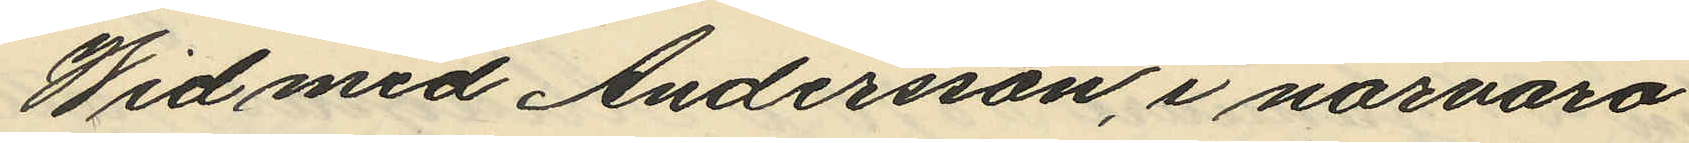Wid med Andersson, i närvaro
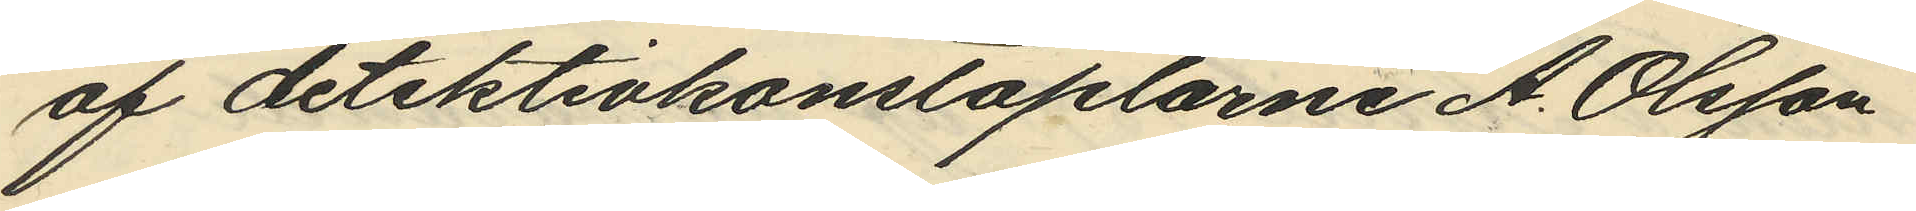af detektivkonstaplarne A. Olsson
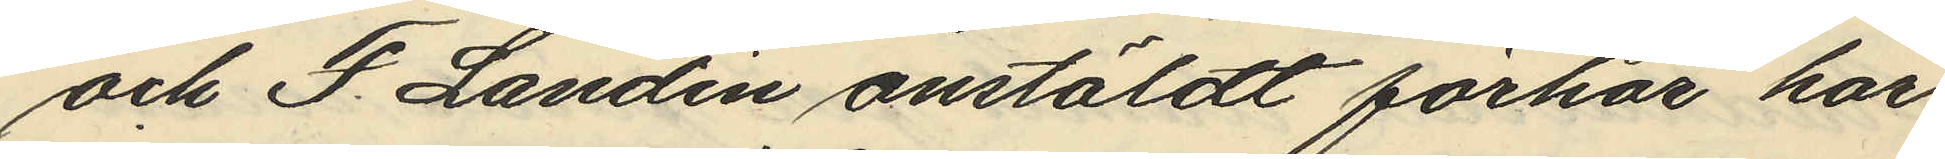och F. Landin anstäldt förhör har
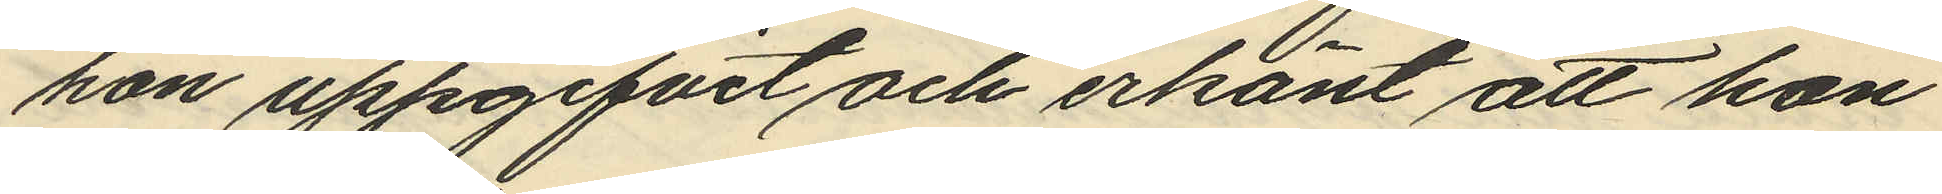hon uppgifvit och erkänt att hon
